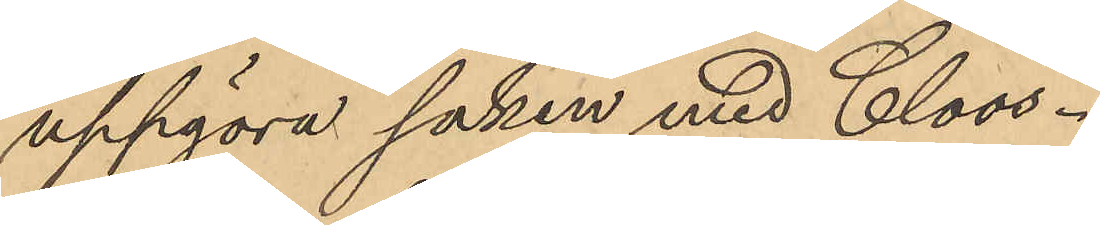uppgöra saken med Cloos.
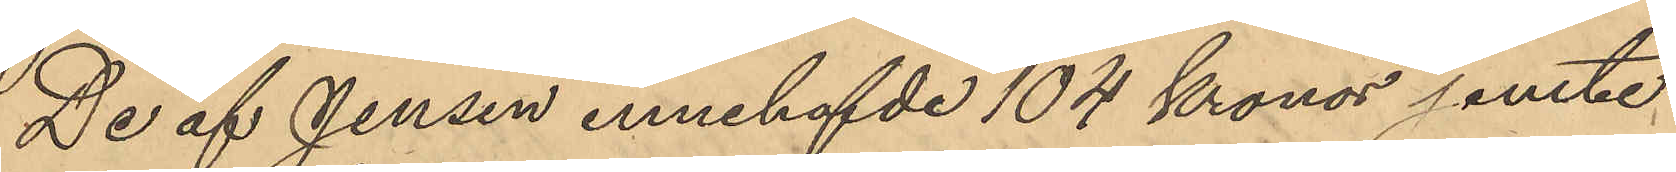De af Jensen innehafvde 104 Kronor jemte
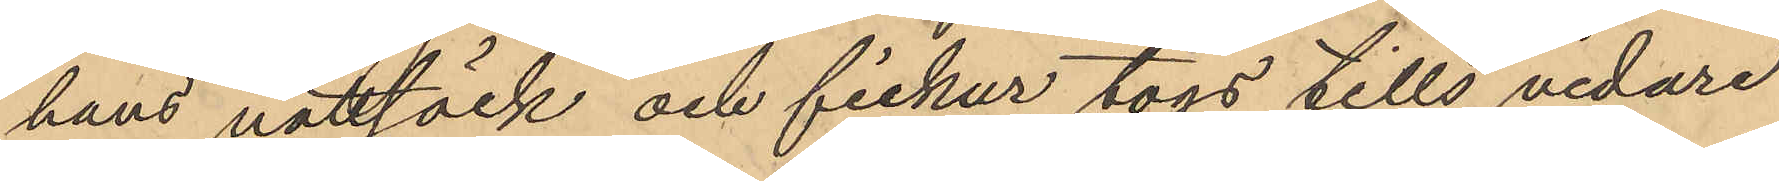hans nattsäck och fickur togs tills vidare
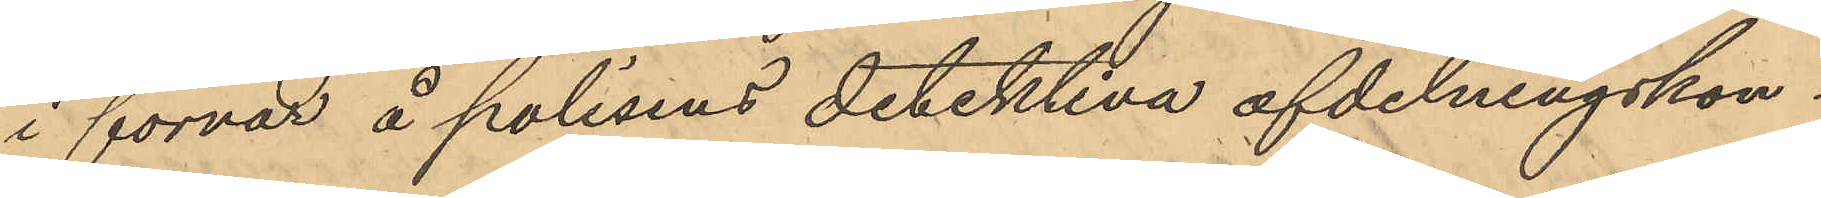i förvar å polisens detektiva afdelningskon¬
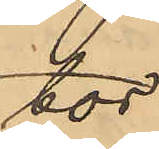tor.
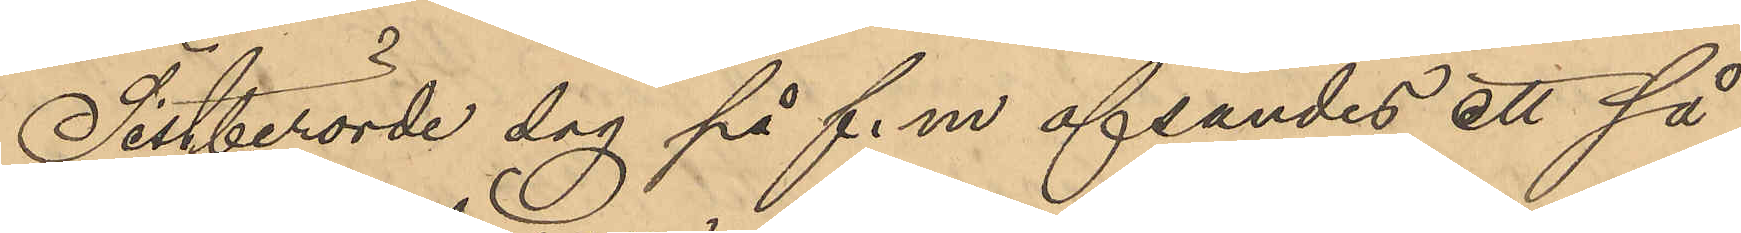Sistberörde dag på f.m afsändes ett så
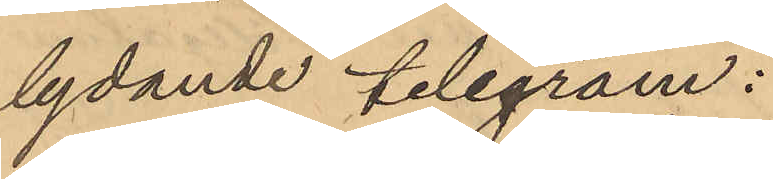lydande telegram:
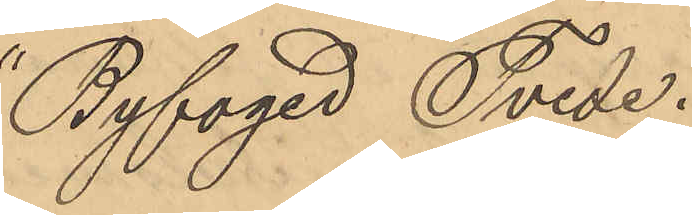"Byfoged Tvede.
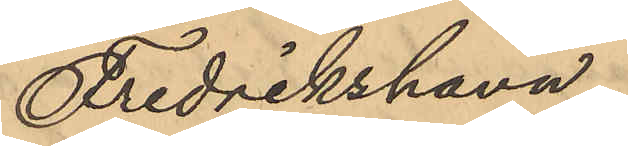Fredrikshavn.
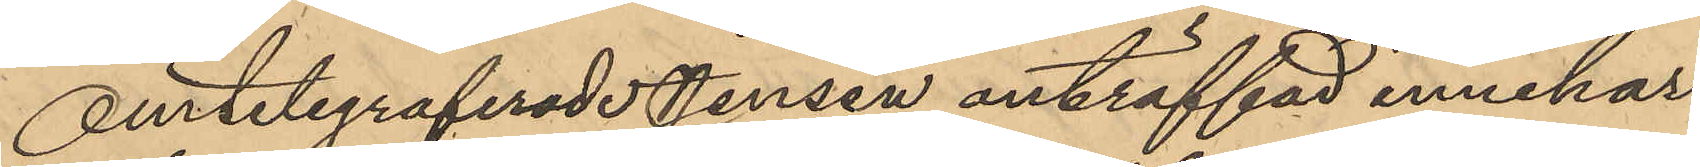Omtelegraferade Jensen anträffad innehar
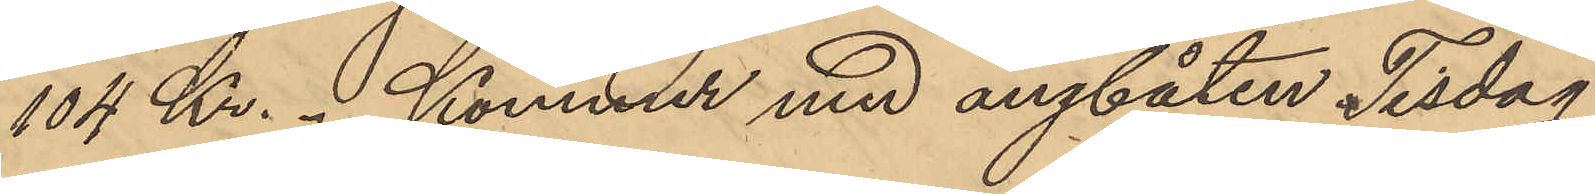104 Kr.  Kommer med ångbåten Tisdag
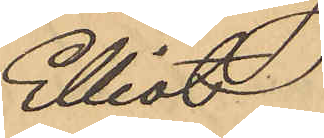Elliot
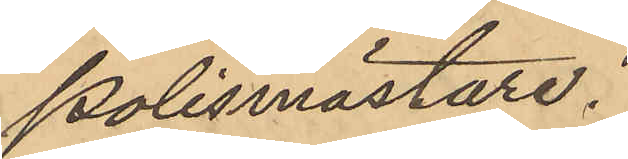Polismästare."
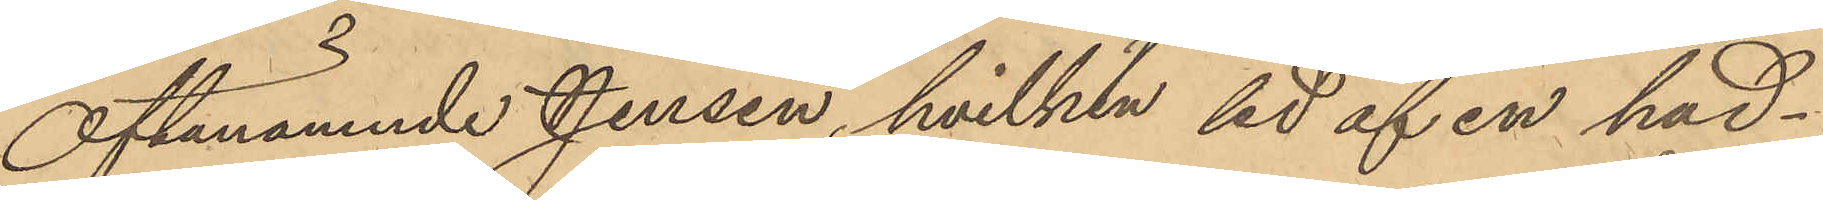Oftanämnde Jensen, hvilken led af en hud¬
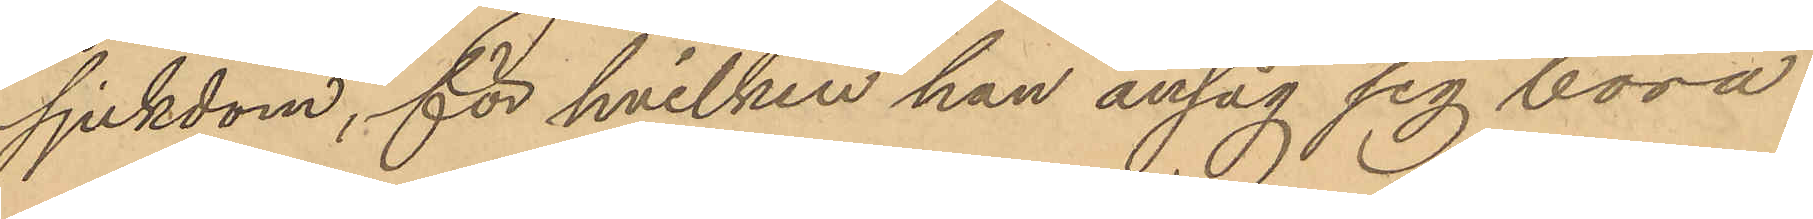sjukdom, för hvilken han ansåg sig böra
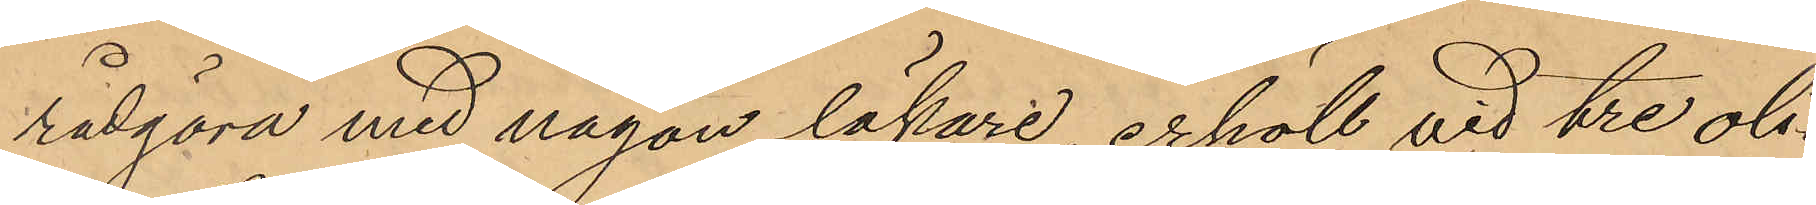rådgöra med någon läkare, erhöll vid tre oli¬
